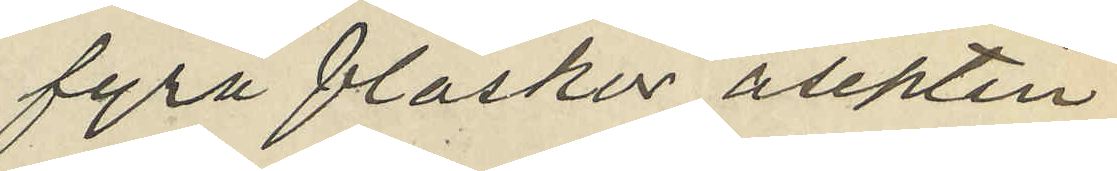fyra flaskor aseptin
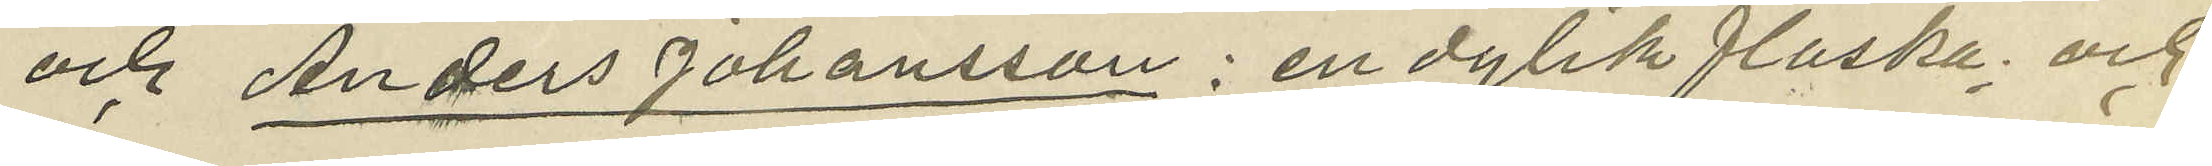och Anders Johansson: en dylik flaska; och
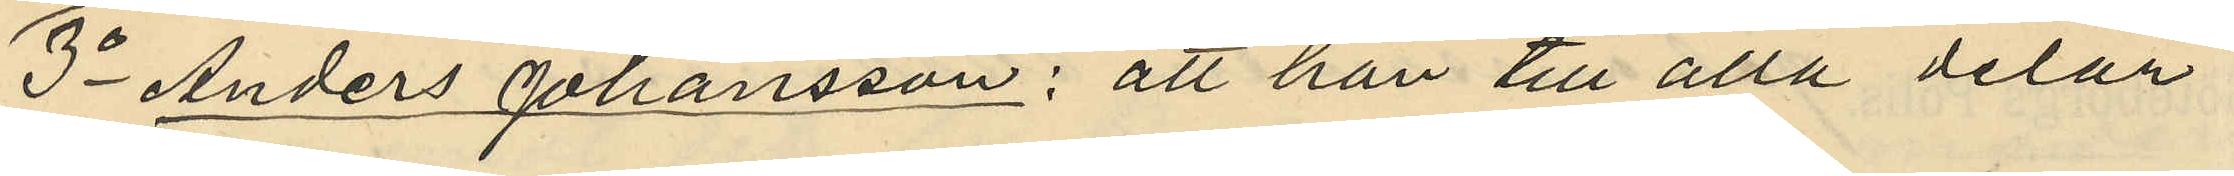3o Anders Johansson: att han till alla delar
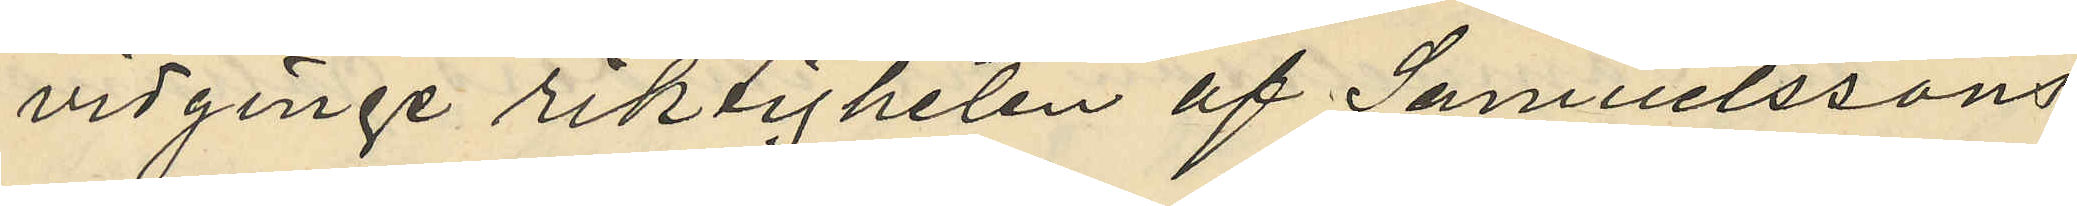vidginge riktigheten af Samuelssons
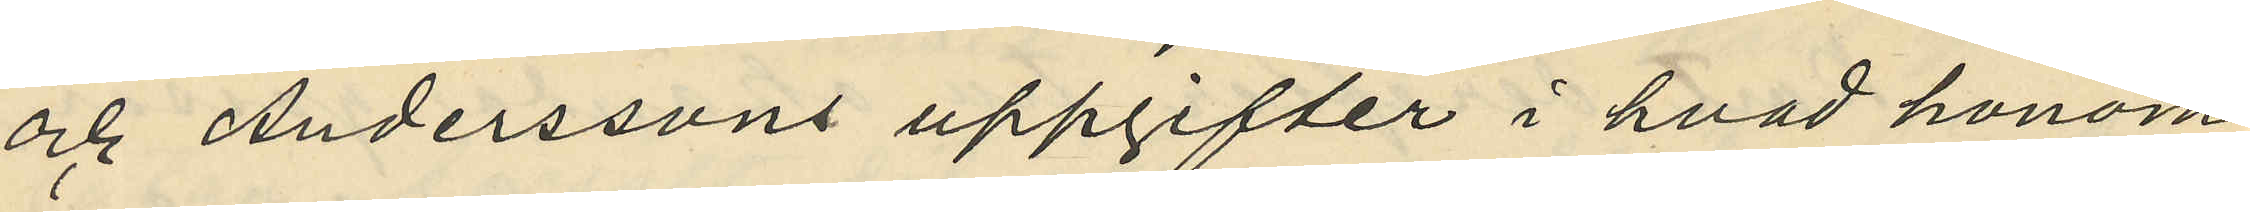och Anderssons uppgifter i hvad honom
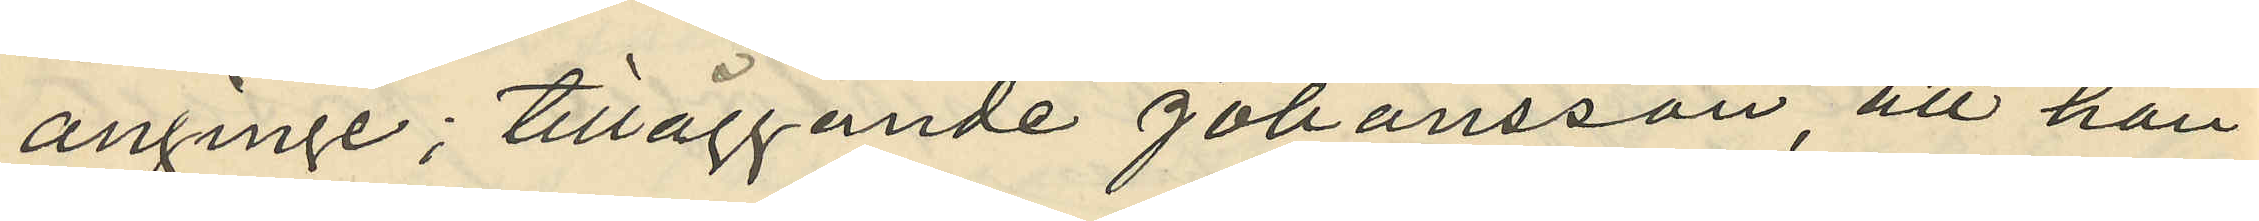anginge; tilläggande Johansson att han
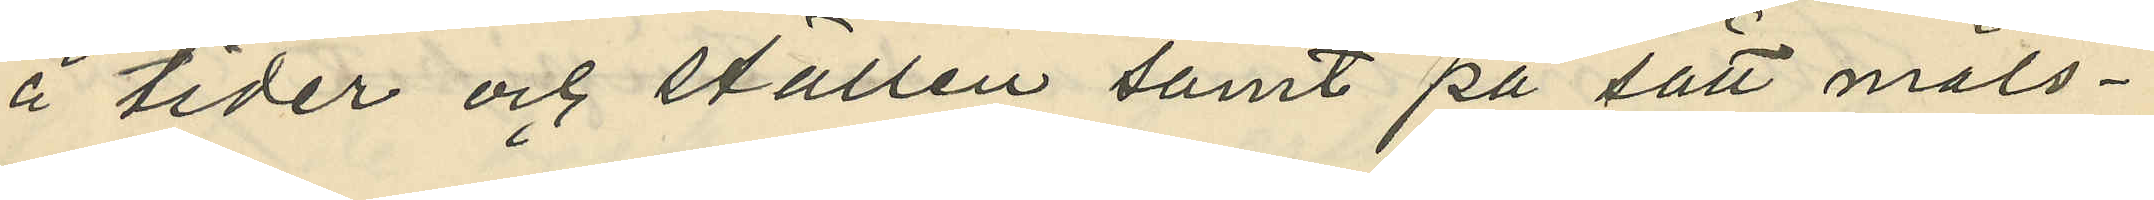å tider och ställen samt på sätt måls¬
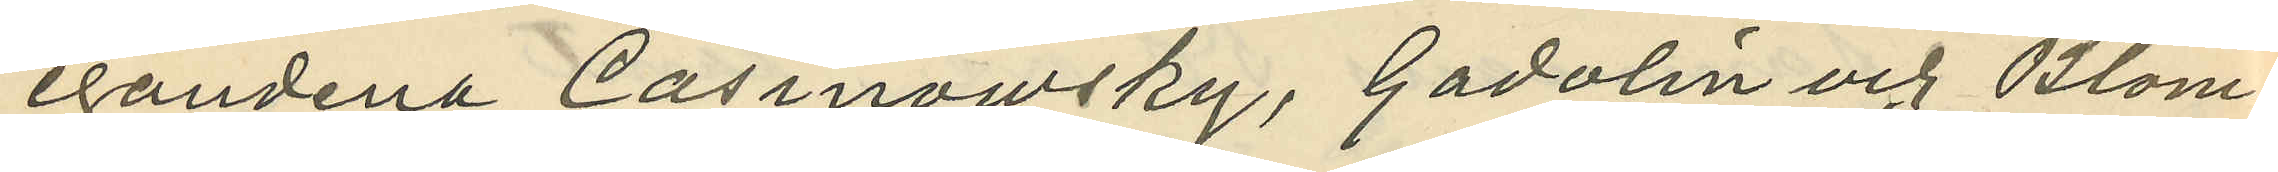egandena Casinowsky, Gadolin och Blom¬
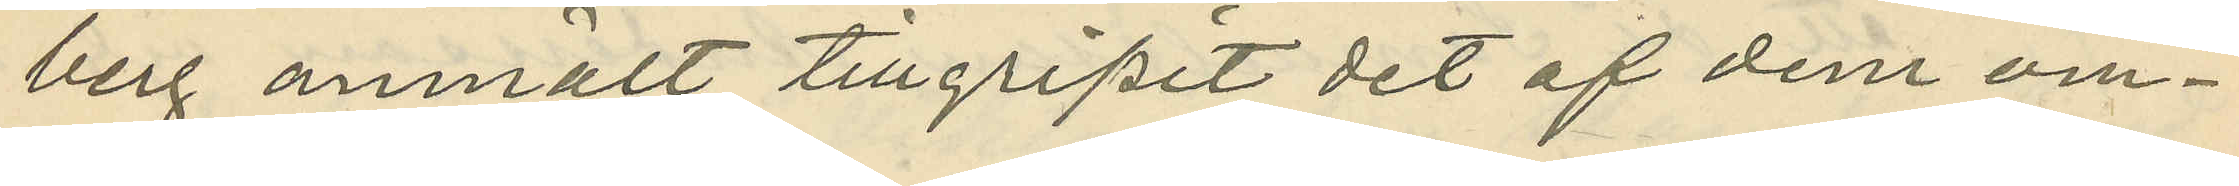berg anmält tillgripit det af dem om¬
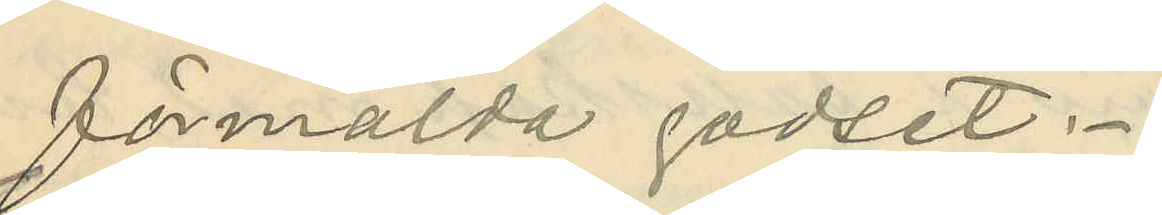förmälda godset.
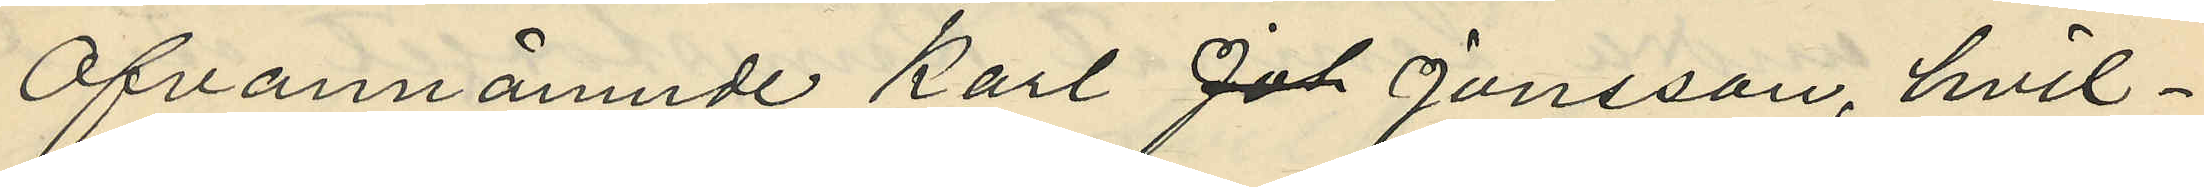Ofvannämnde Karl Jonsson, hvil¬
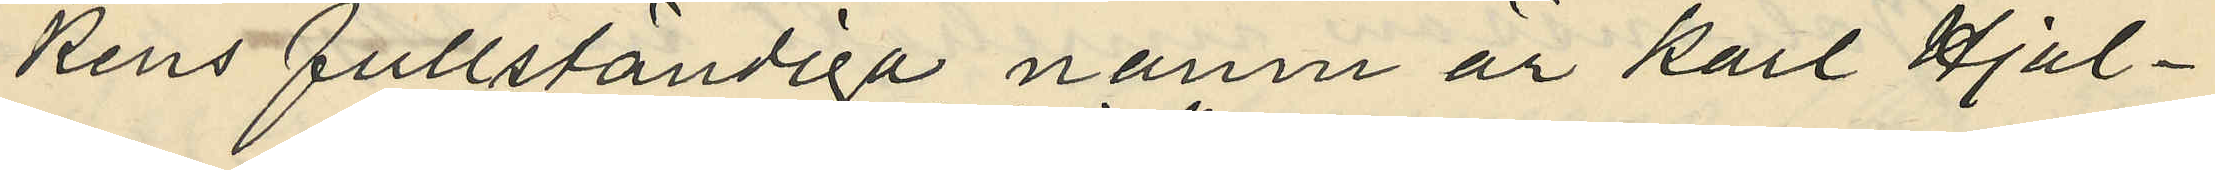kens fullständiga namn är Karl Hjal¬
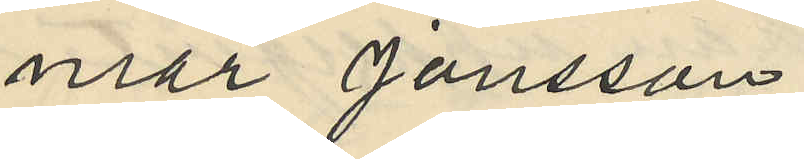mar Jonsson
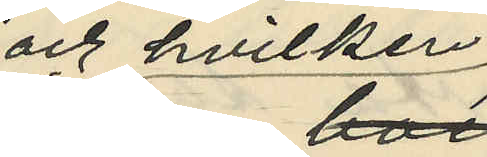och hvilken
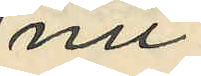nu
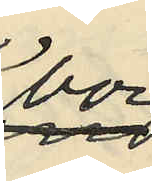bor
